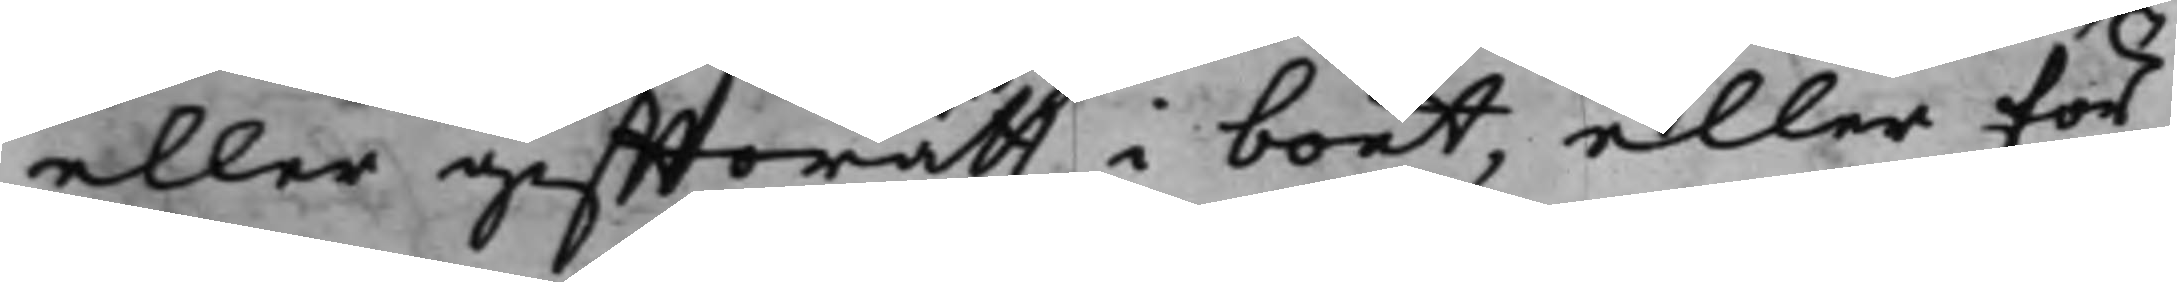eller gifftoratt i boet, eller för
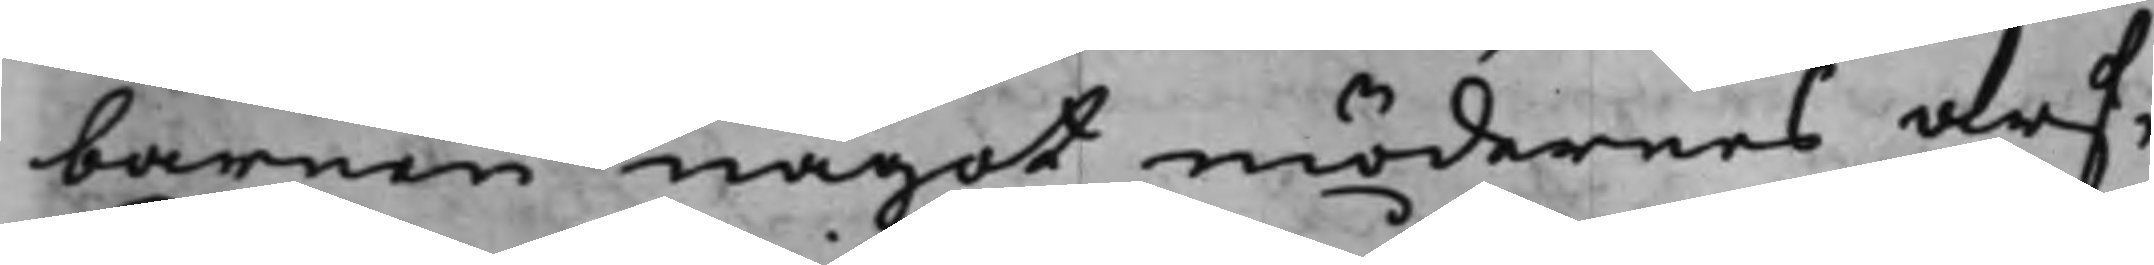barnen något mödernes arf,
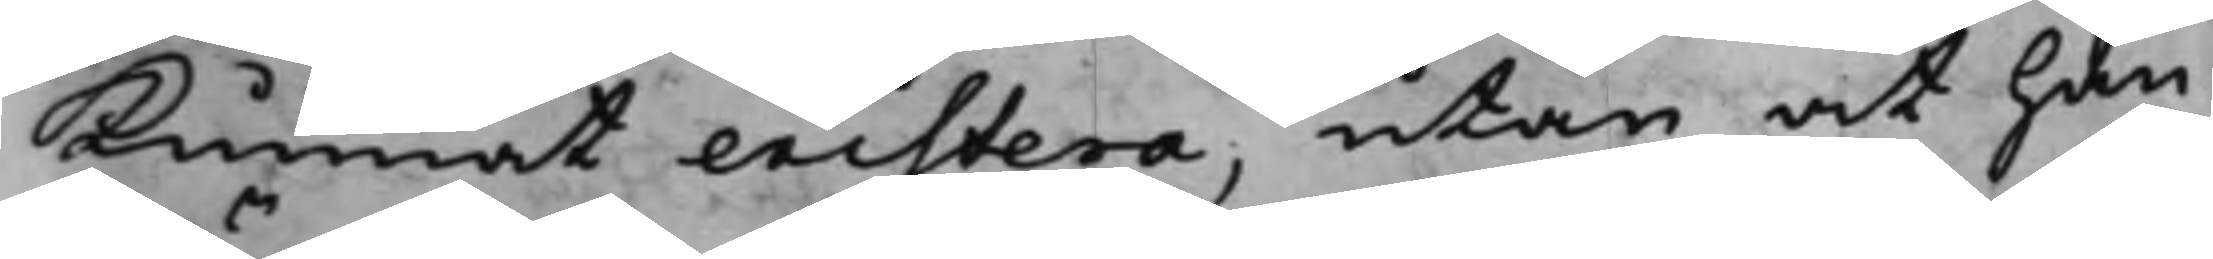kunnat existera, utan at han
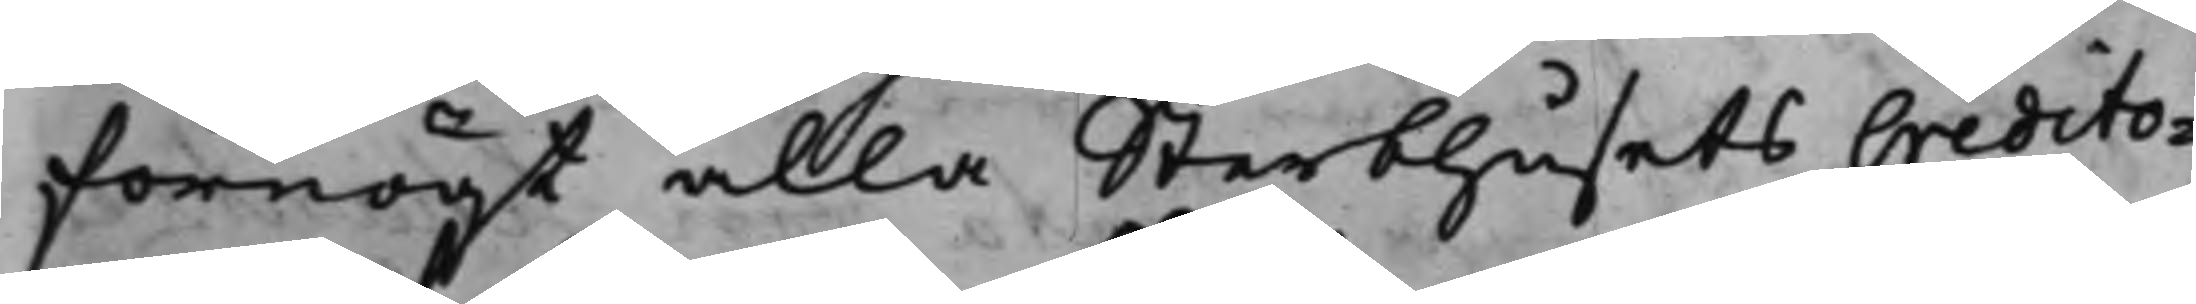förnögt alla Sterbhusets Credito¬
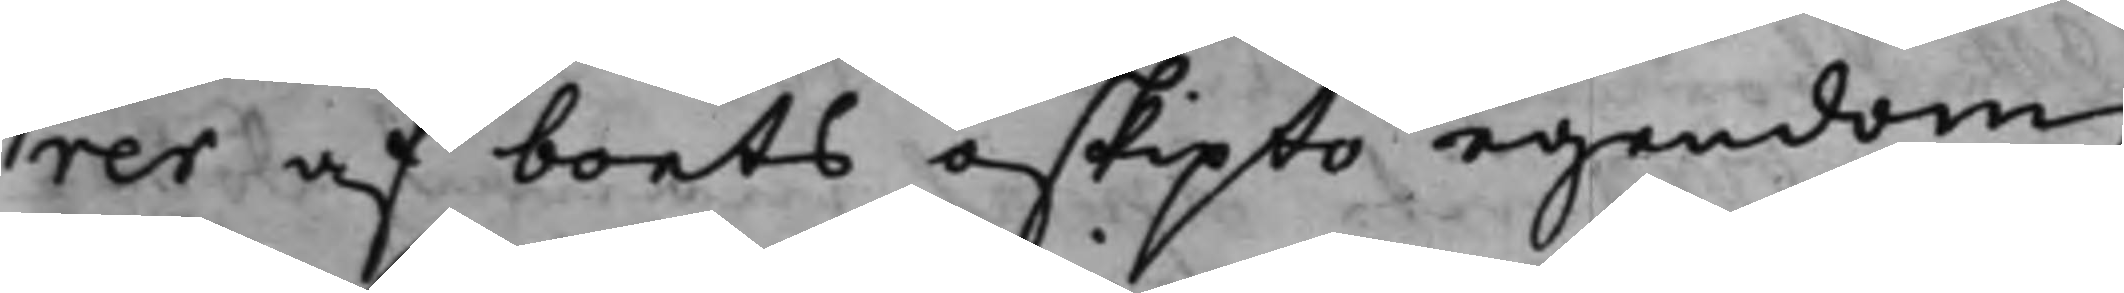rer af boets oskipto egendom,
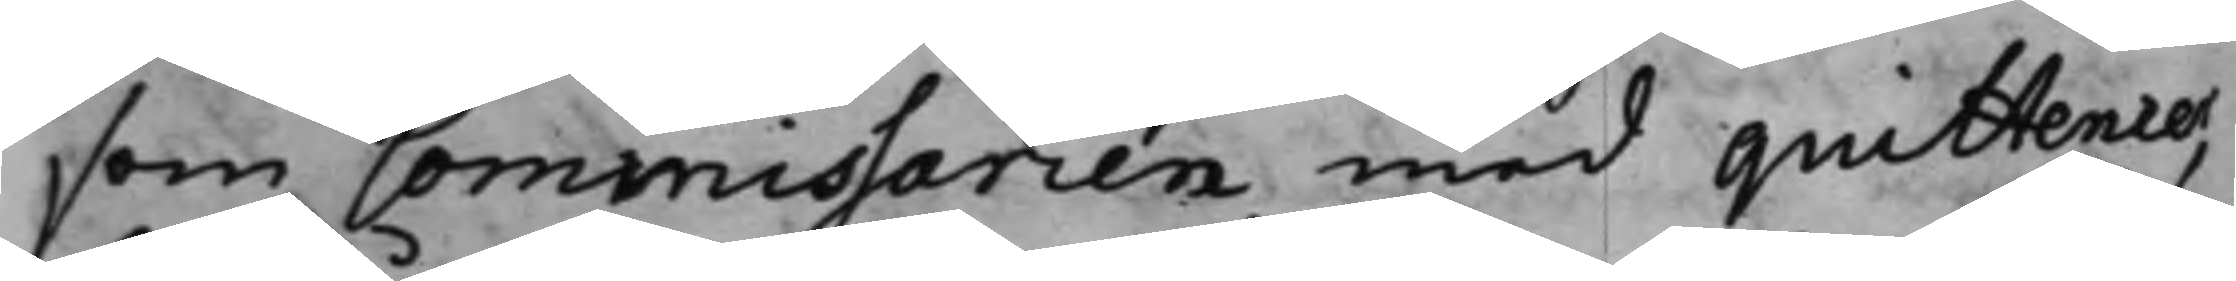som Commissarien med quittencer,
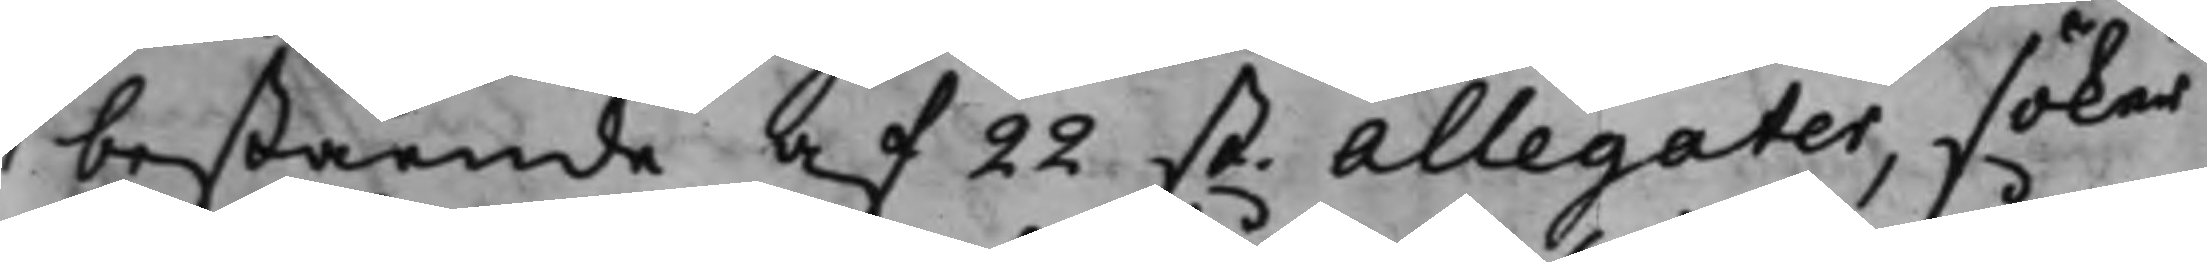bestående af 22 st. allegater, söker
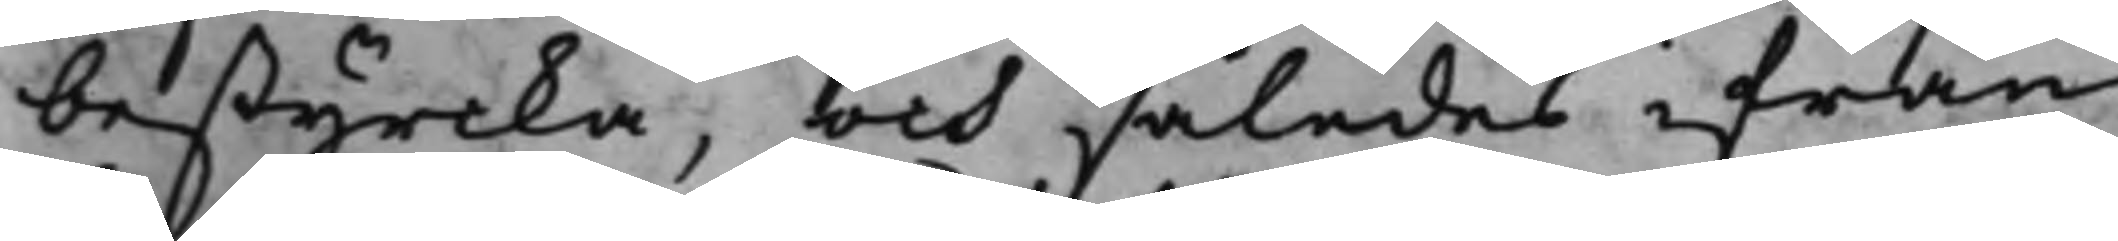bestyrcka, och således ifrån
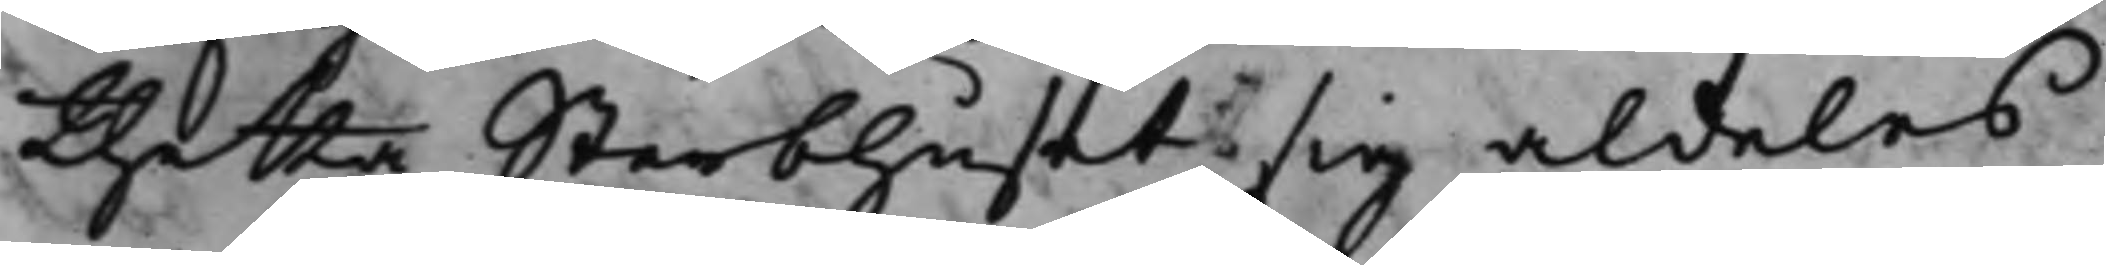thetta Sterbhuset sig aldeles
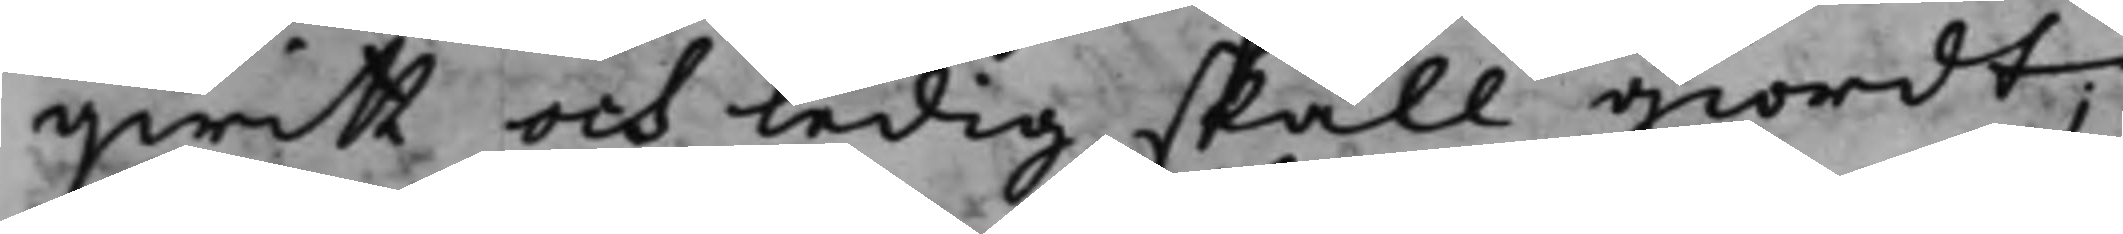qwitt och ledig skall giordt;
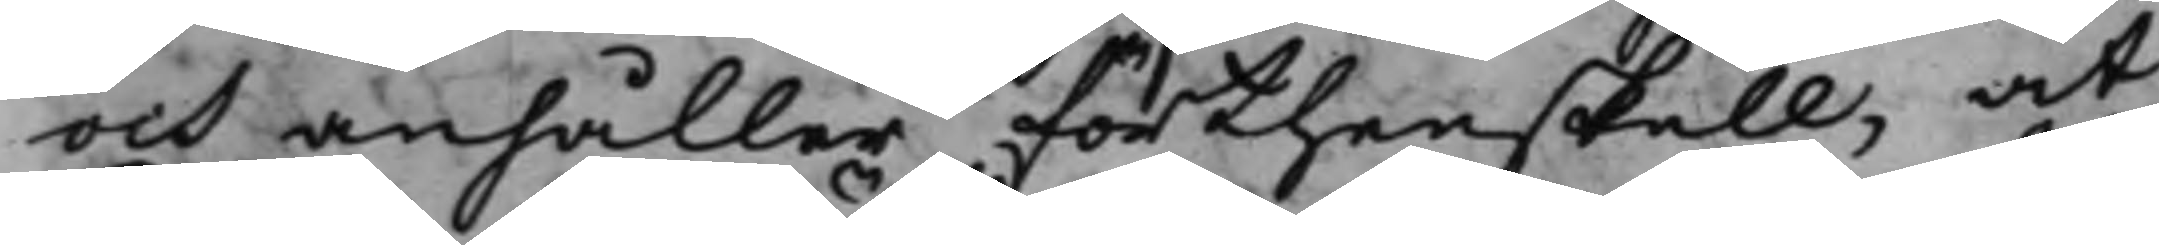och anhåller förthenskull, at
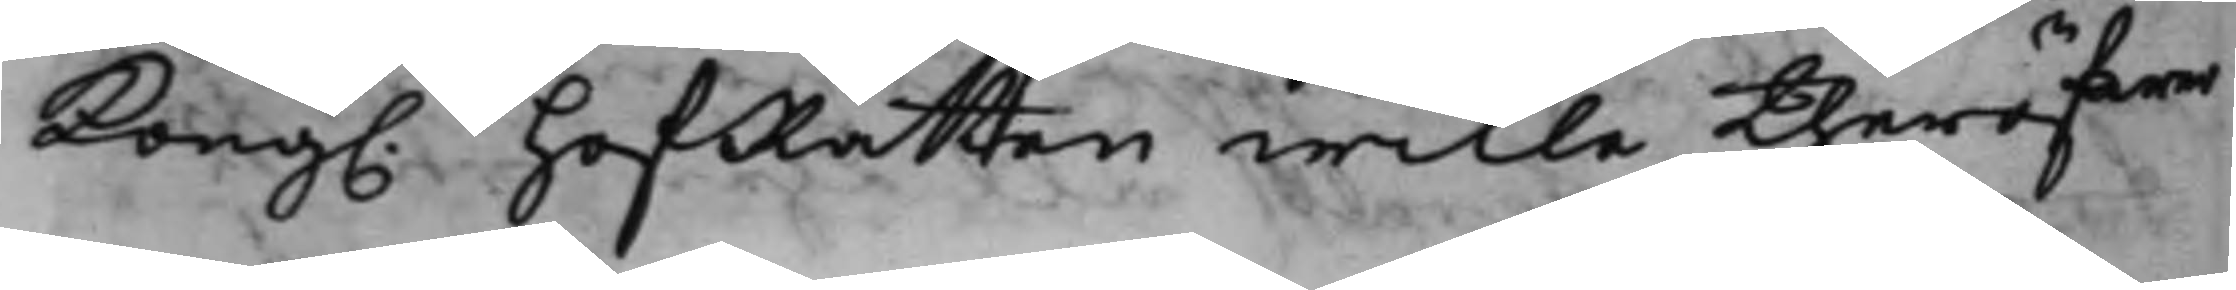Kong. HofRätten wille theröfwer
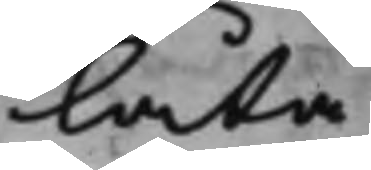låta
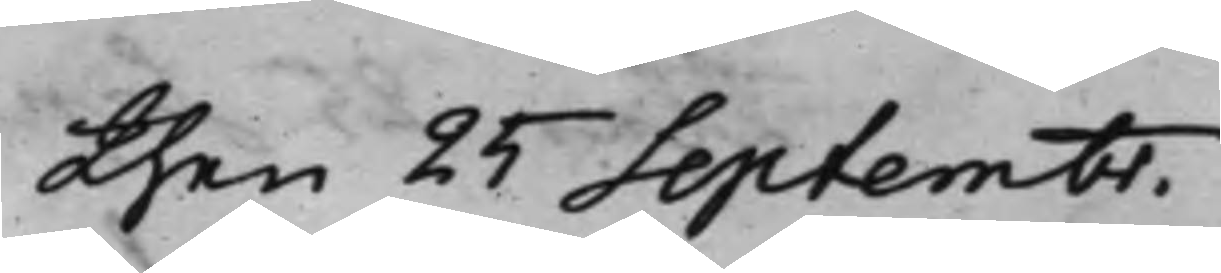den 25 Septembr.
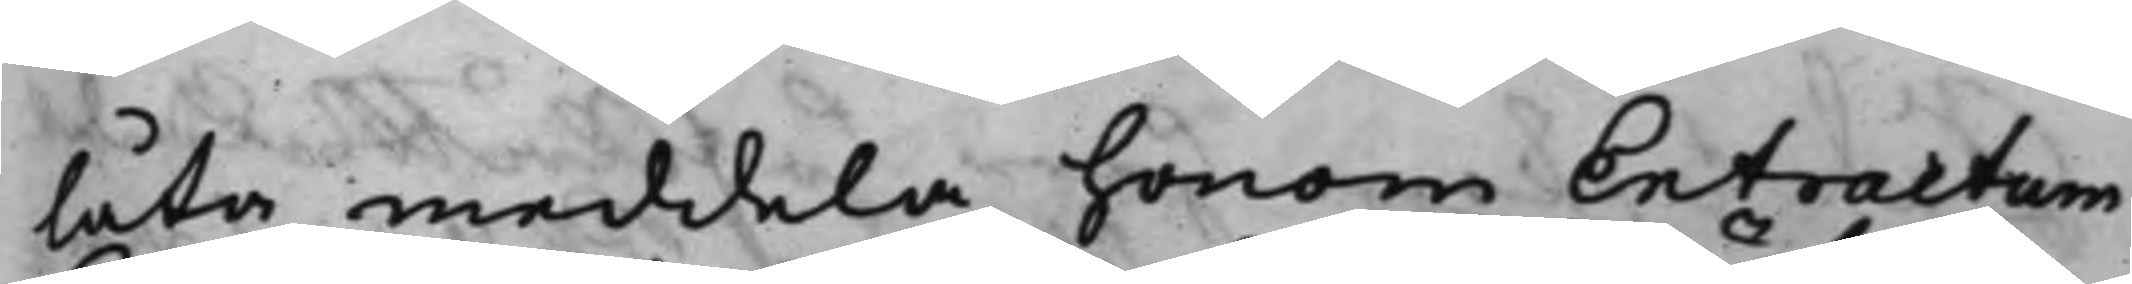låta meddela honom Extractum
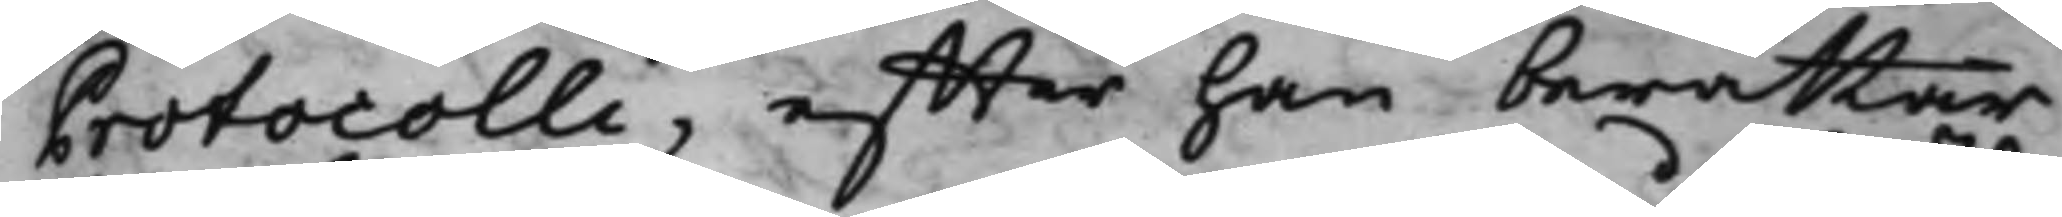Protocolli, effter han berättar
